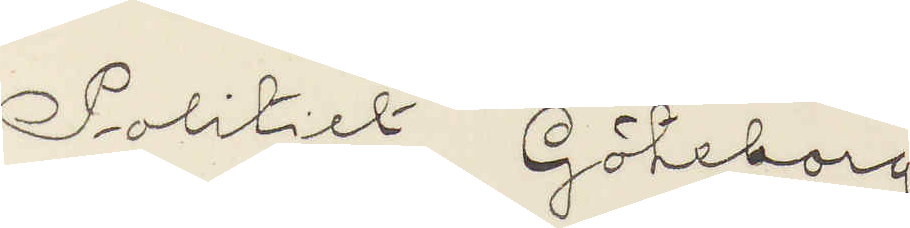Politiet Göteborg
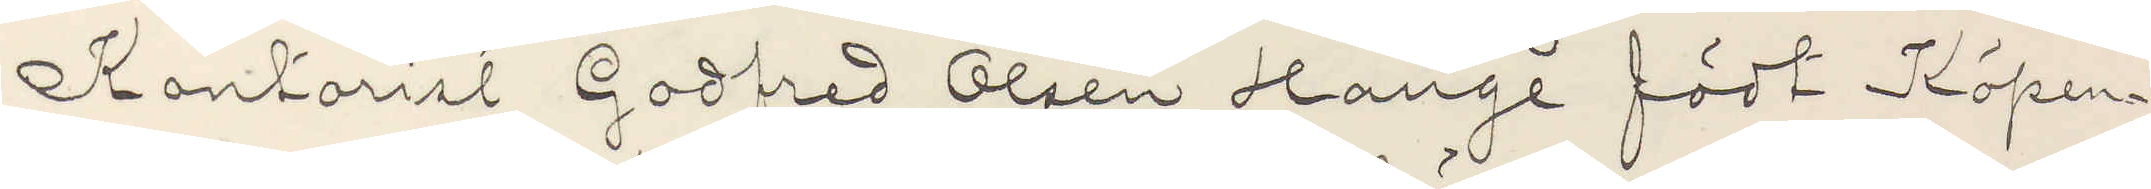Kontorist Godfred Olsen Hange födt Köpen¬
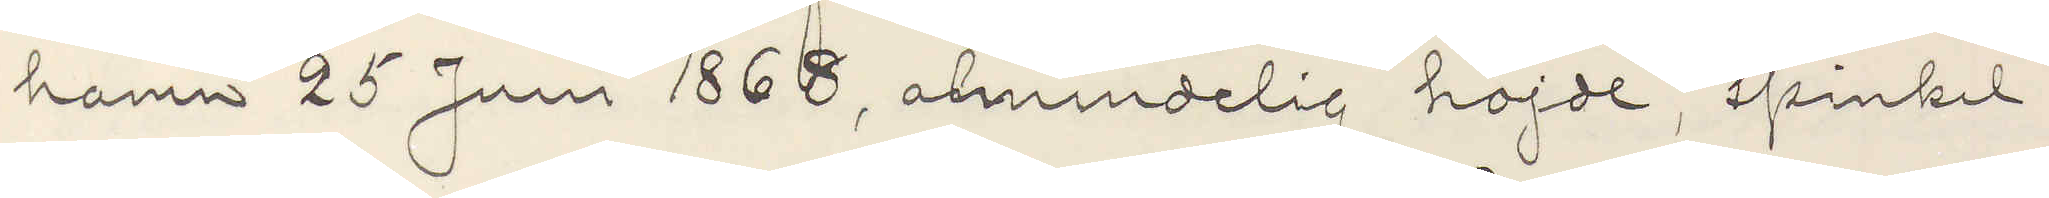hamn 25 Juni 1868, almindelig höjde, spinkel,
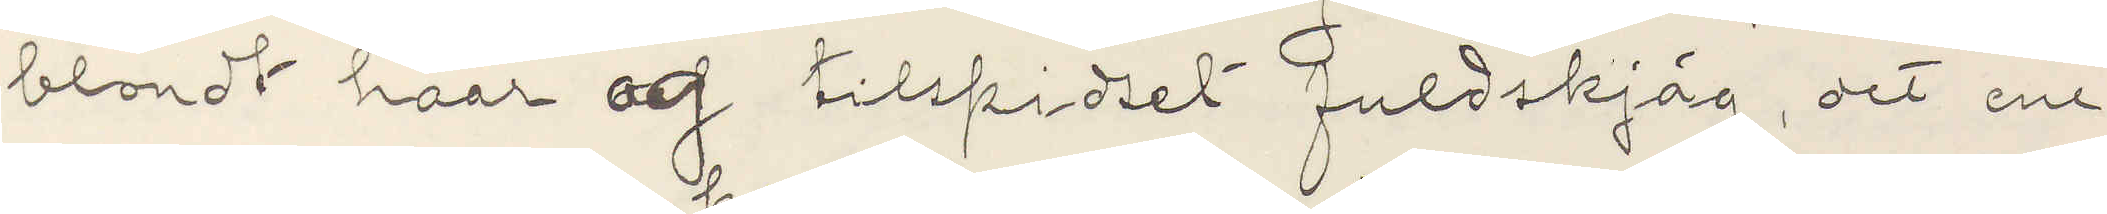blondt haar og tilspidset fuldskjäg, det ene
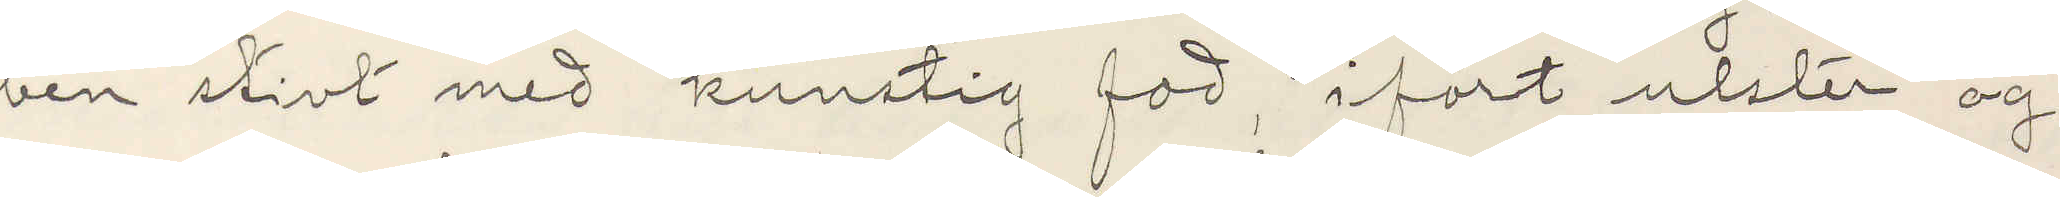ben stivt med kunstig fod, ifört ulster og
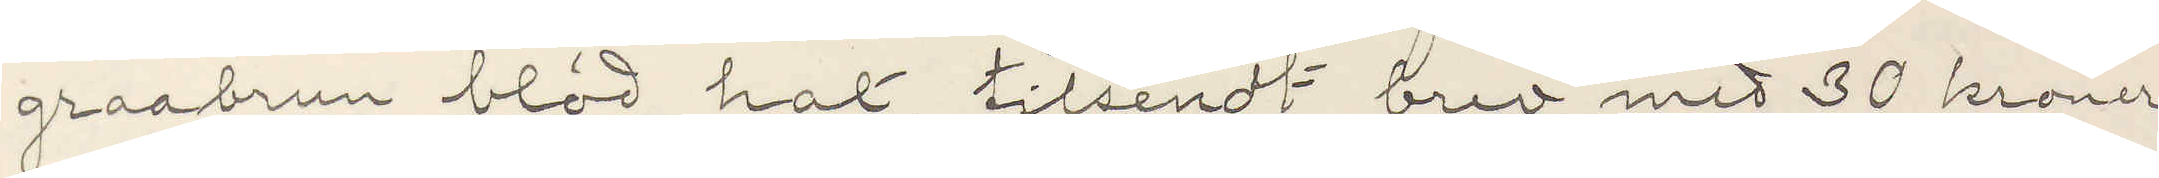graabrun blöd hat, tilsendt brev med 30 kroner
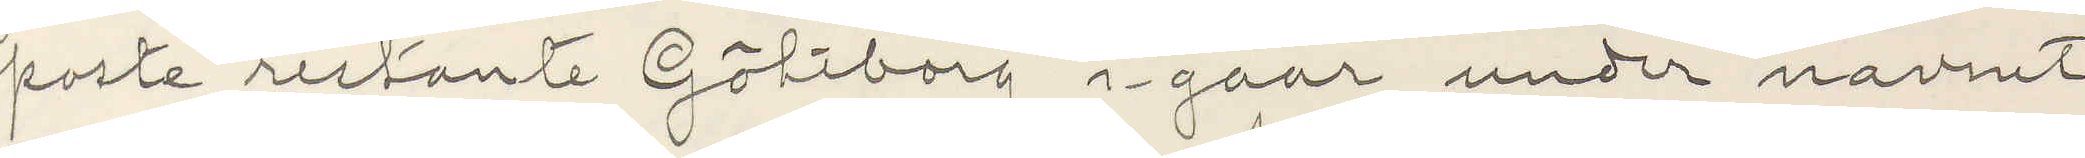poste restante Göteborg i gaar under navnet
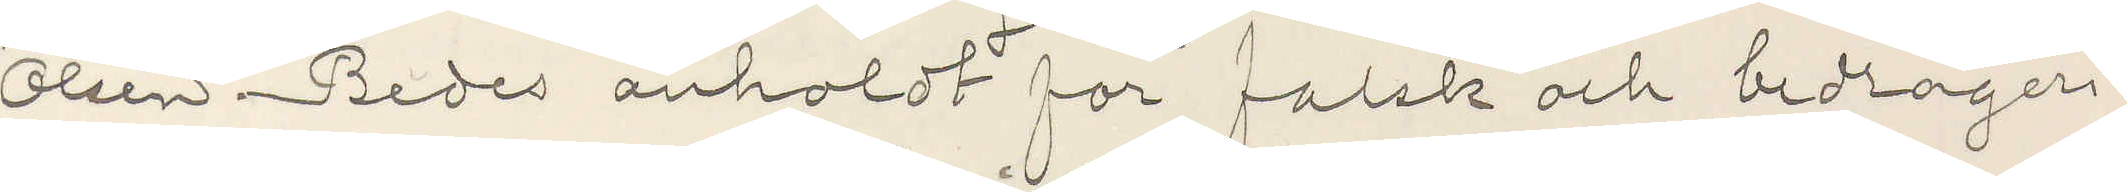Olsen Bedes anholdt for falsk och bedrageri
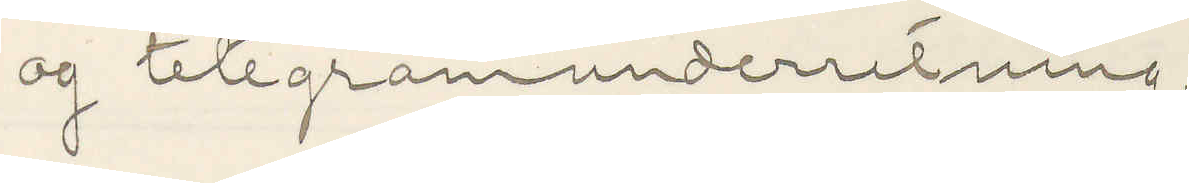og telegramunderretning.
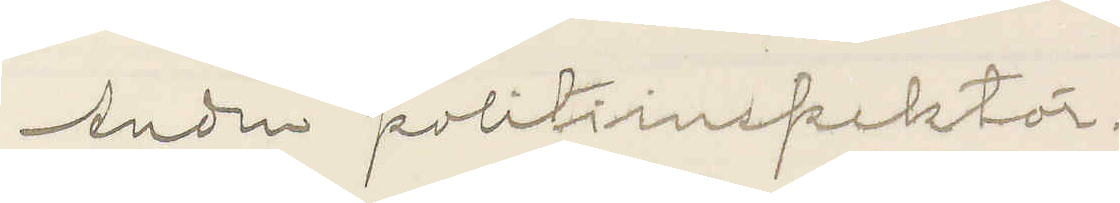Andren politiinspektör.
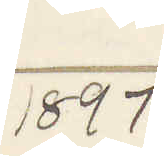1897
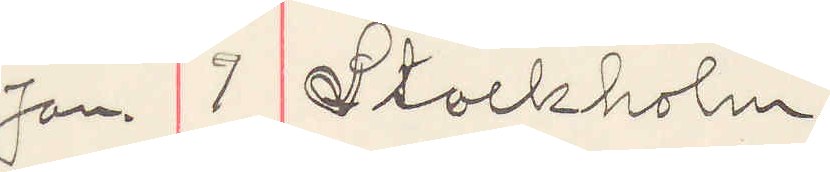Jan. 7 Stockholm.
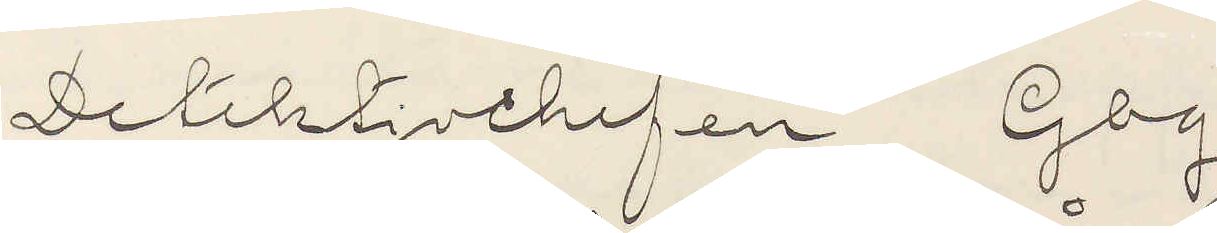Detektivchefen, Gbg
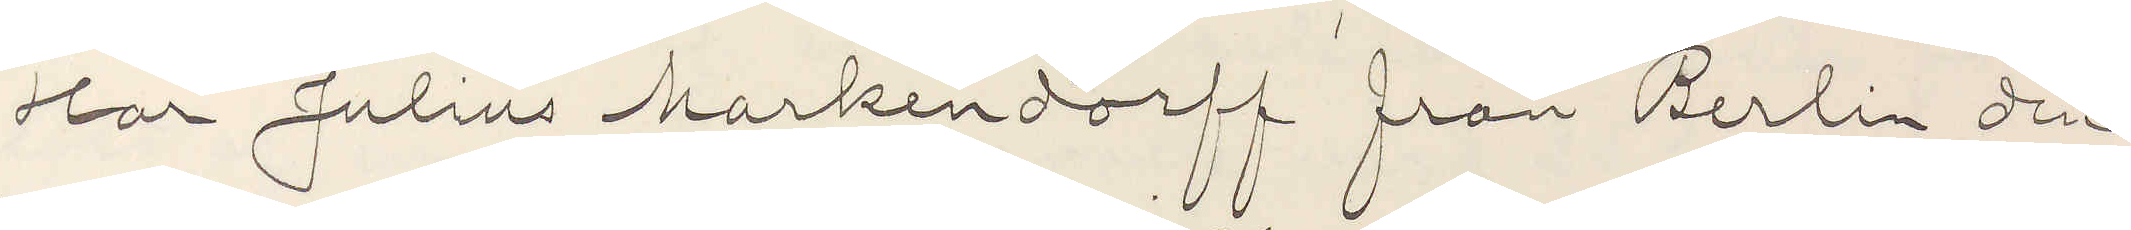Har Julius Markendorff från Berlin den
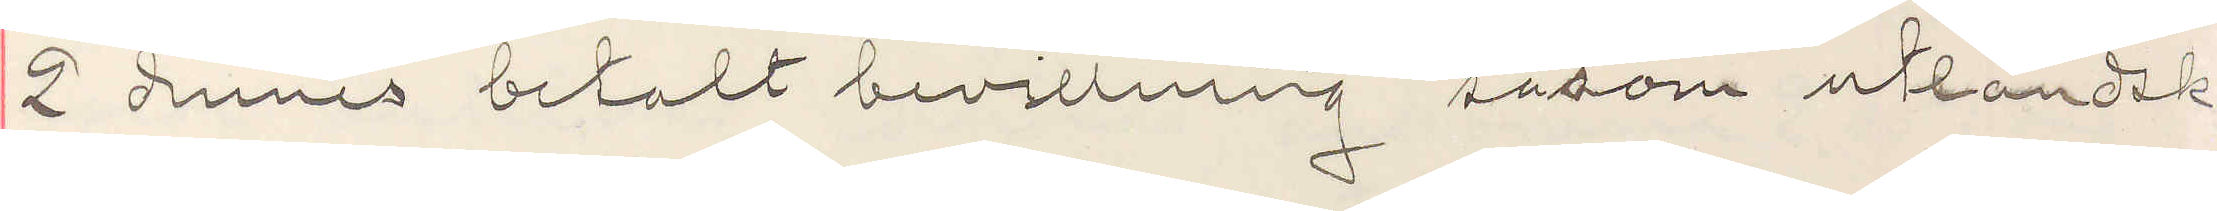2 dennes betalt bevillning såsom utländsk
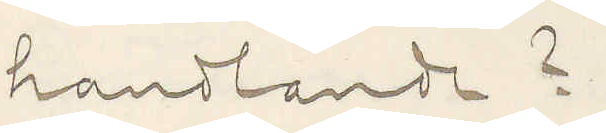handlande?
